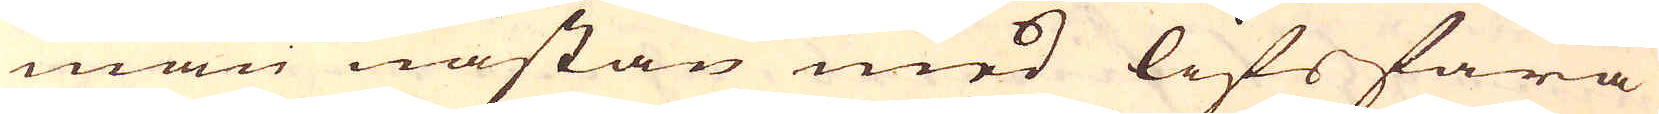man nästan med lifsfara
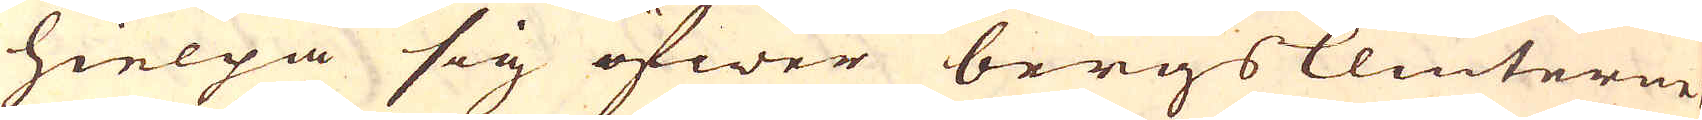hielpa sig öfwer bergsklinterne.
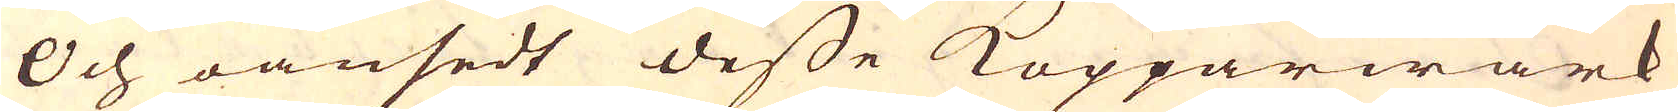Och oansedt desse Kopparwärk
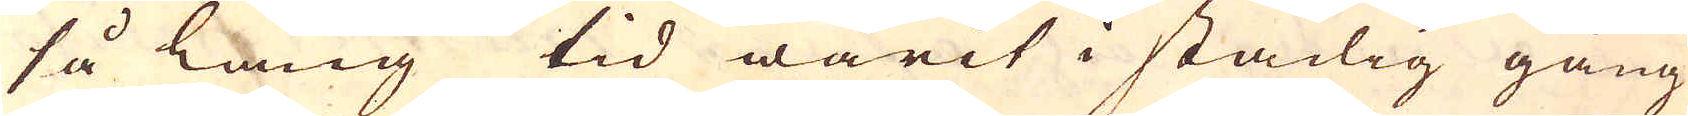så lång tid warit i stadig gång
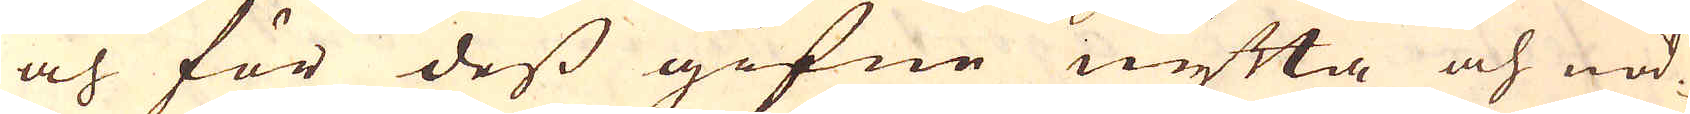och för dess gifne nytta och nöd-
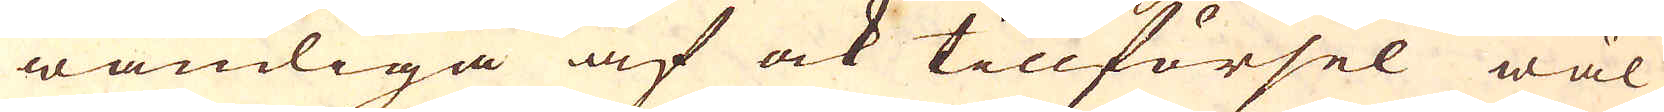wändiga af ock tillförsel wäl
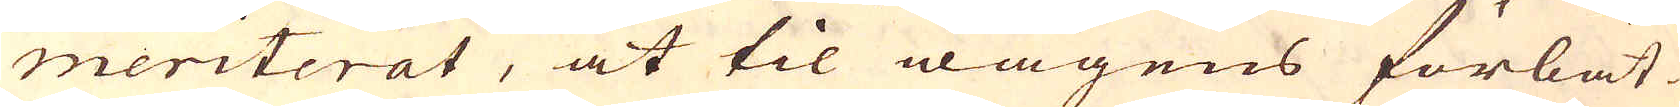meriterat, at til wägens förbät-
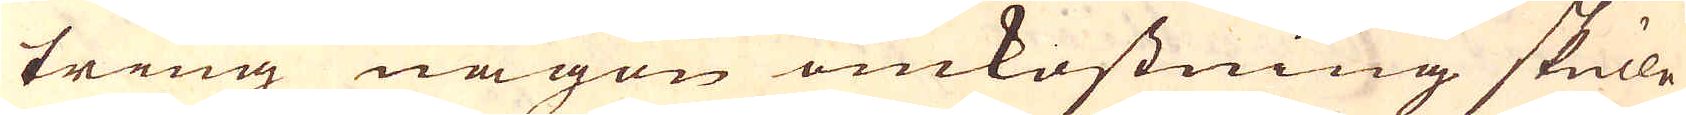tring någon omkostning skulle
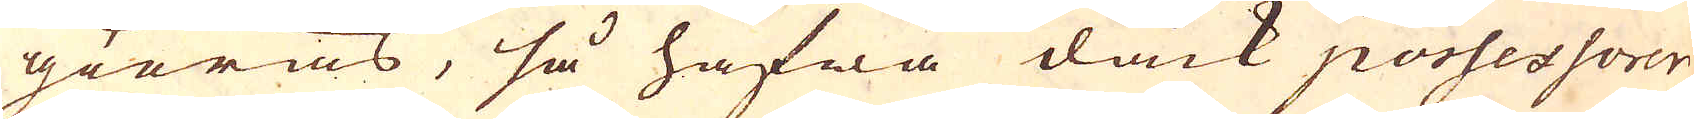giöras, så hafwa dåck possessorer-
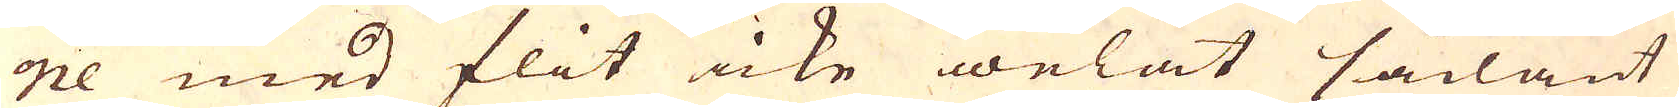ne med flit icke welat sådant
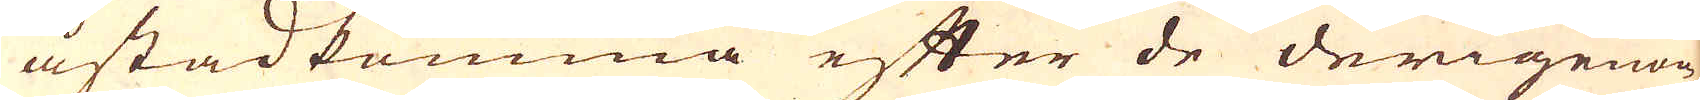åstadkomma efter de derigenom
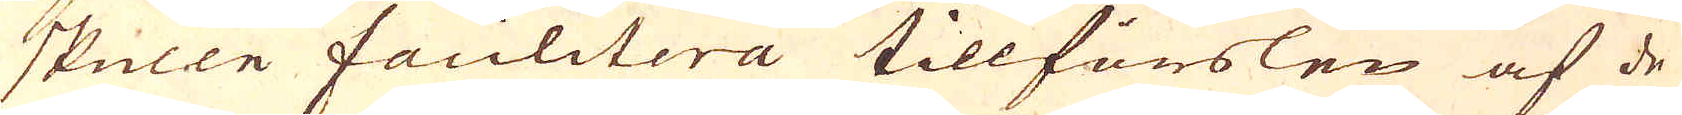skulle facilitera tillförslen af de
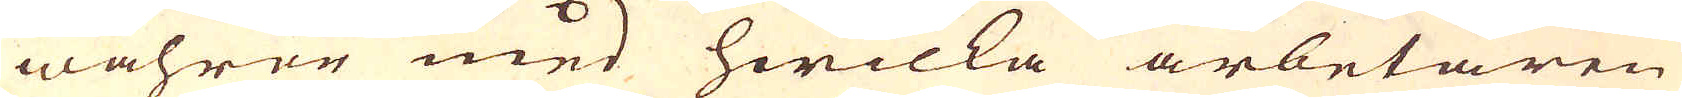wahror med hwilka arbetaren
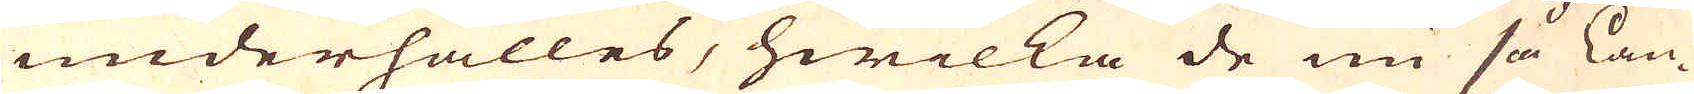underhålles, hwilka de nu så län-
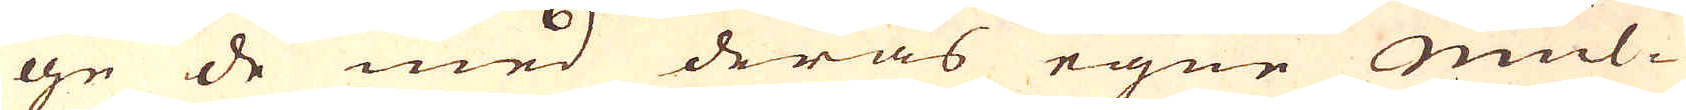ge de med deras egne mul-
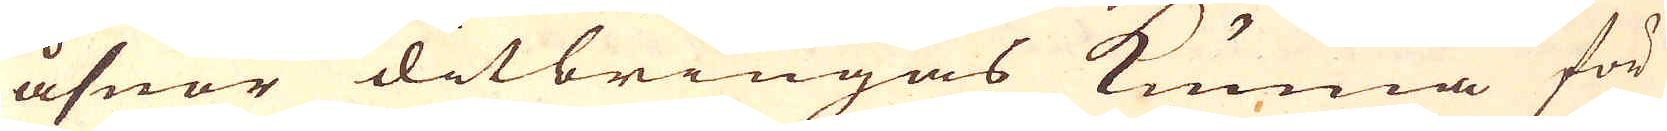åsnor ditbringas kunna för
